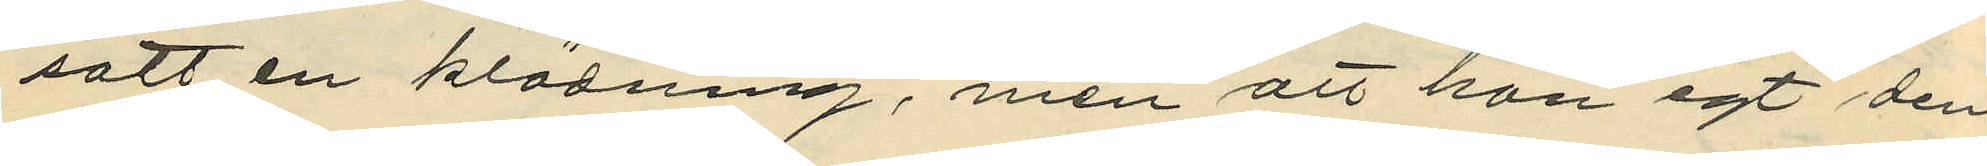satt en klädning, men att hon egt den¬
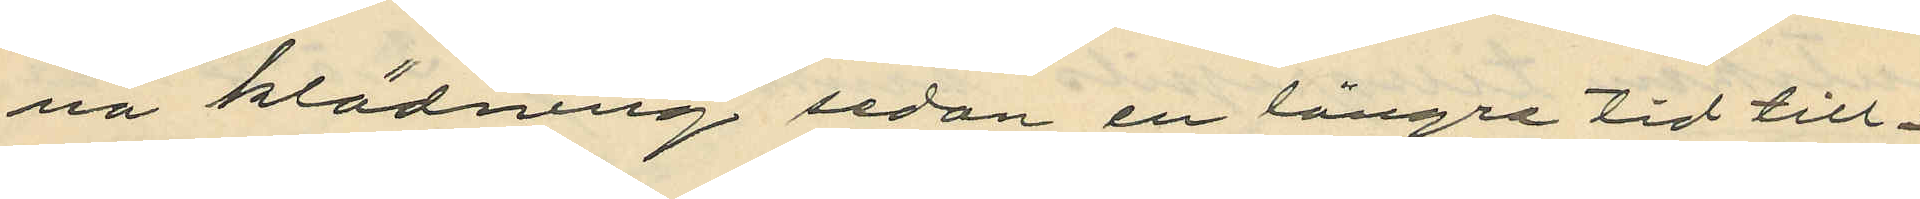na klädning sedan en längre tid till¬
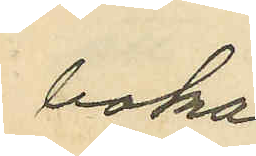baka
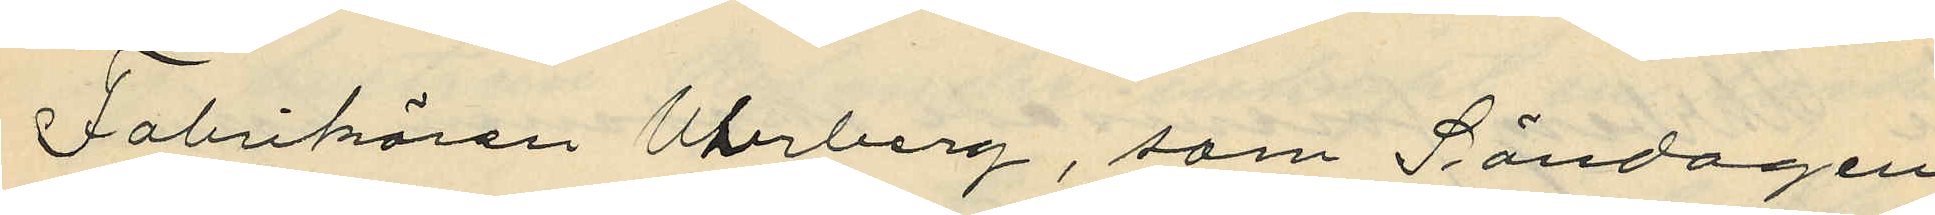Fabrikören Uhrberg, som Söndagen
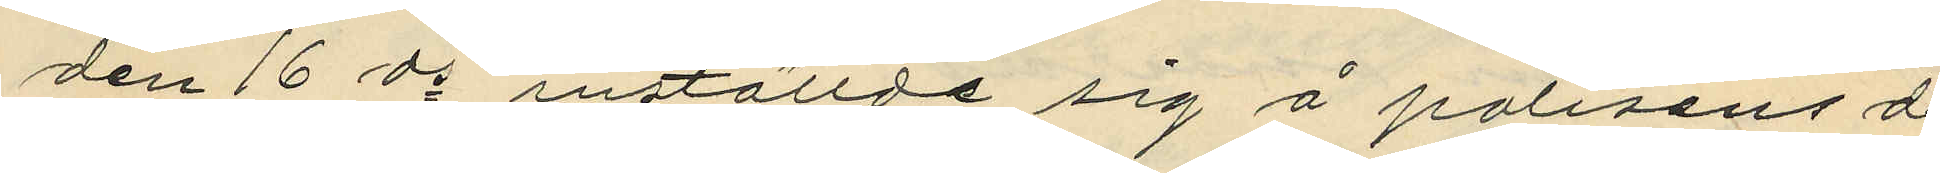den 16 ds inställde sig å polisens de¬
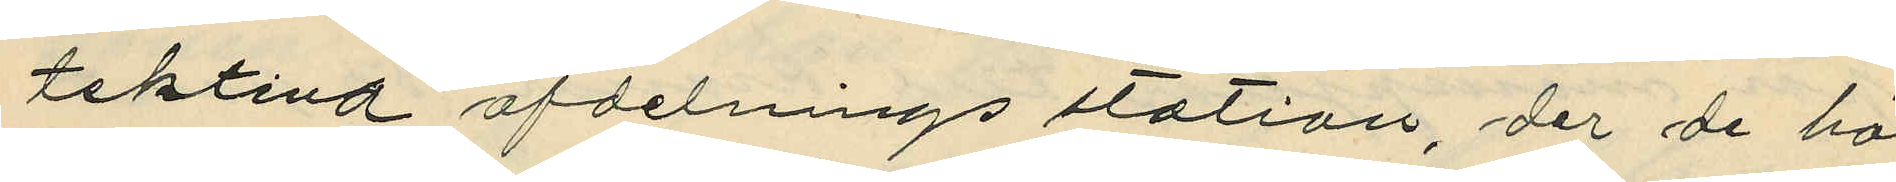tektiva afdelnings station, der de här
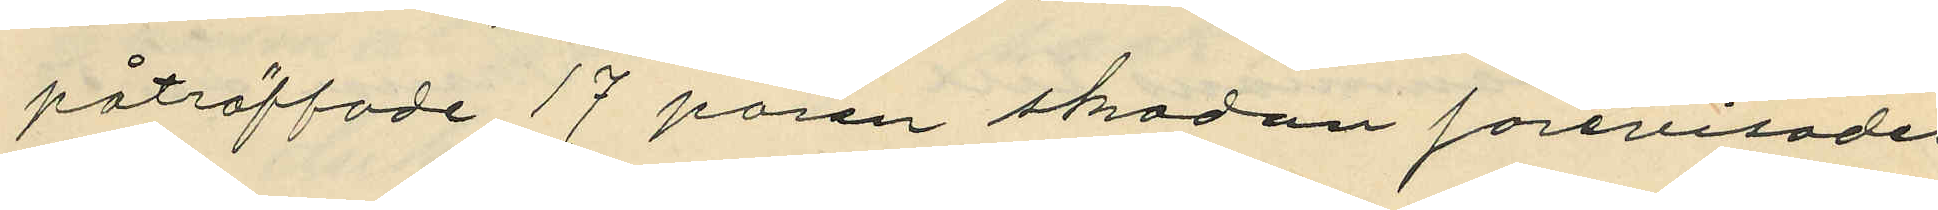påträffade 17 paren skodon förevisades
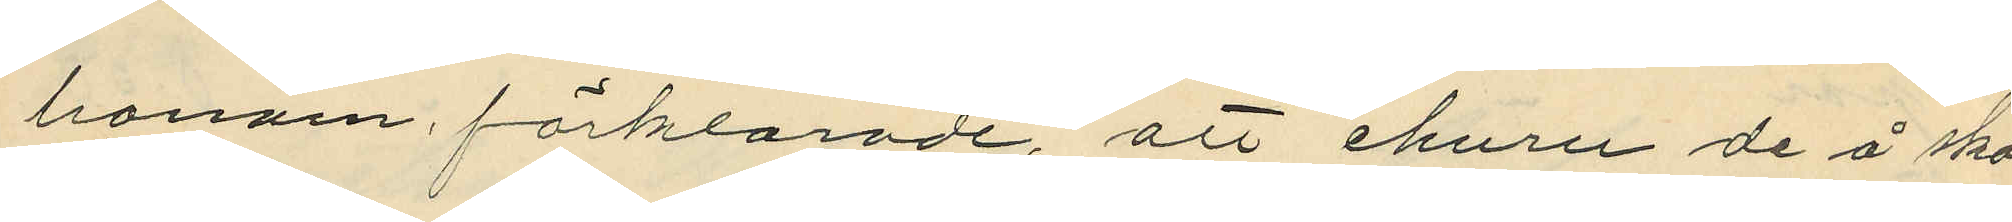honom förklarade, att ehuru de å sko¬
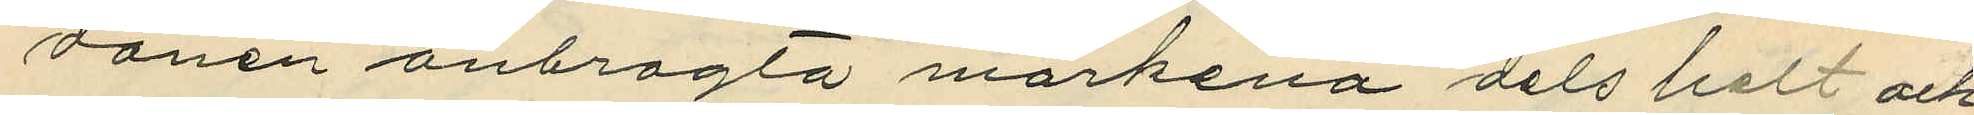donen anbragta märkena dels helt och
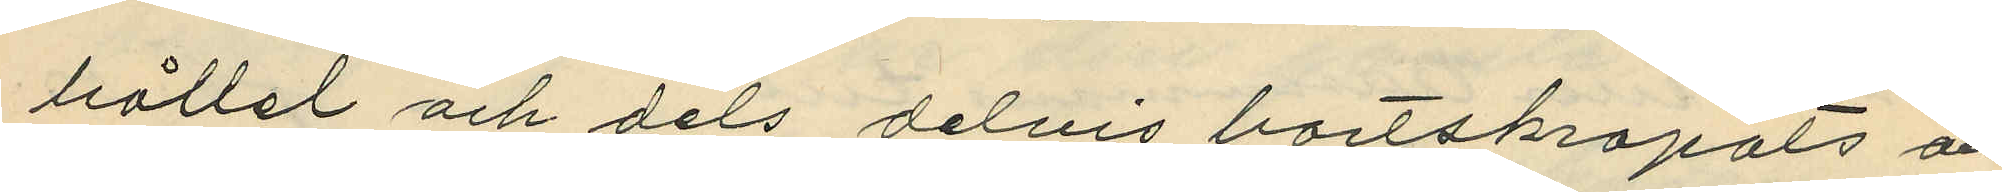hållet och dels delvis bortskapats och
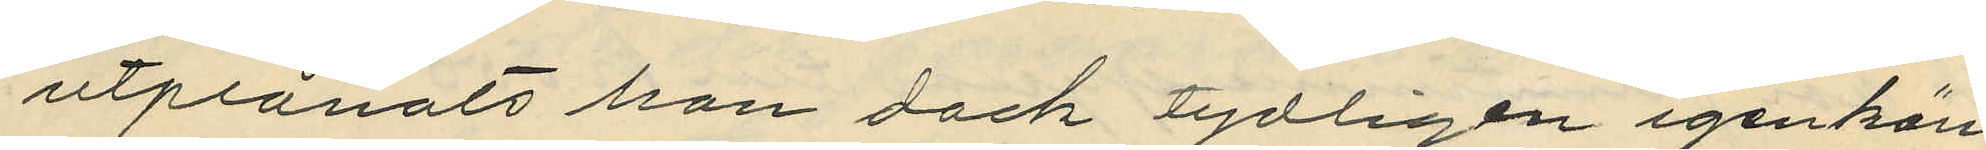utplånats han dock tydligen igenkän¬
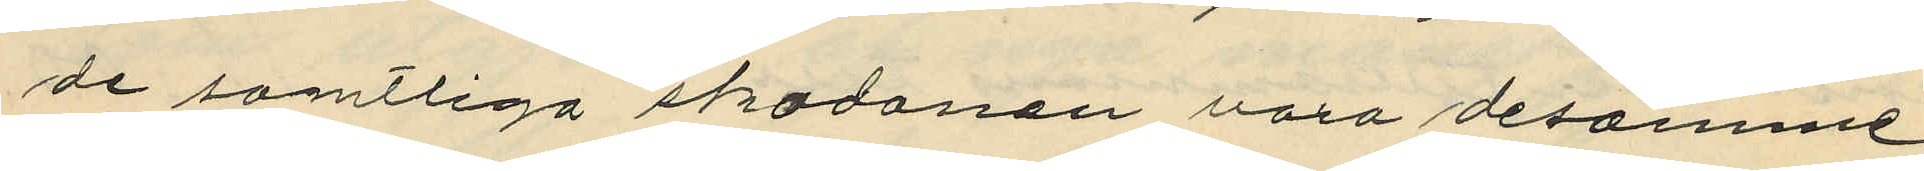de samtliga skodonen vara desamme,
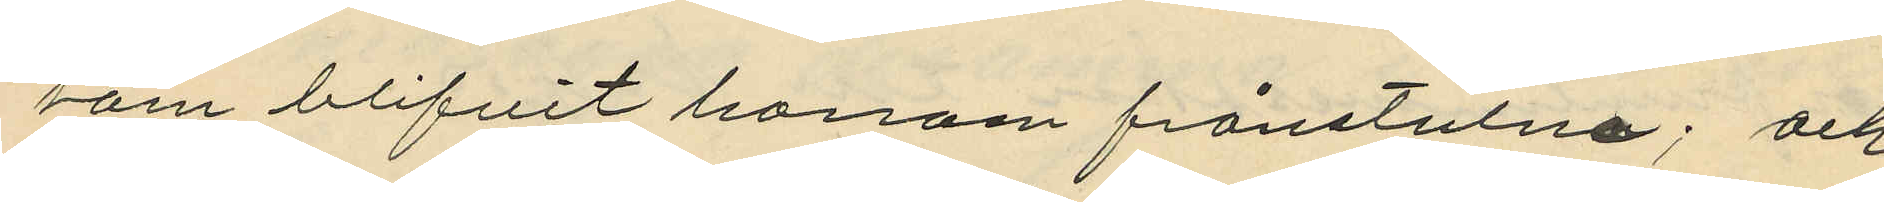som blifvit honom frånstulna; och
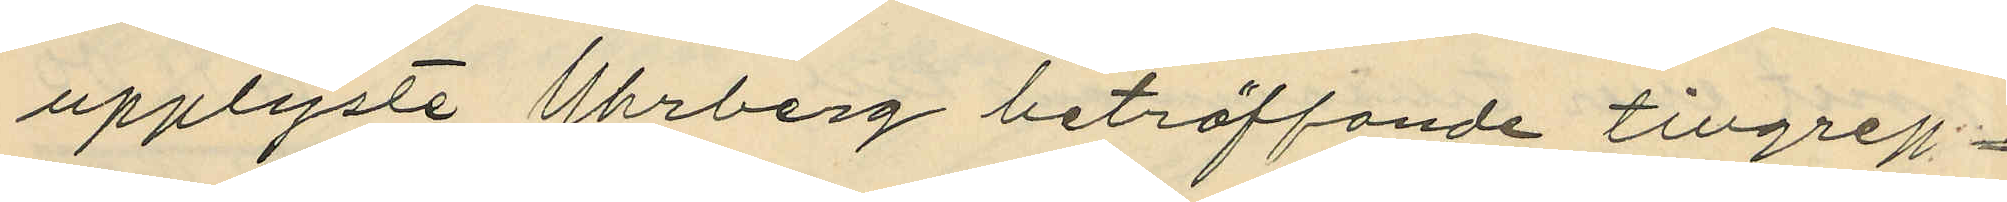upplyste Uhrberg beträffande tillgrep¬
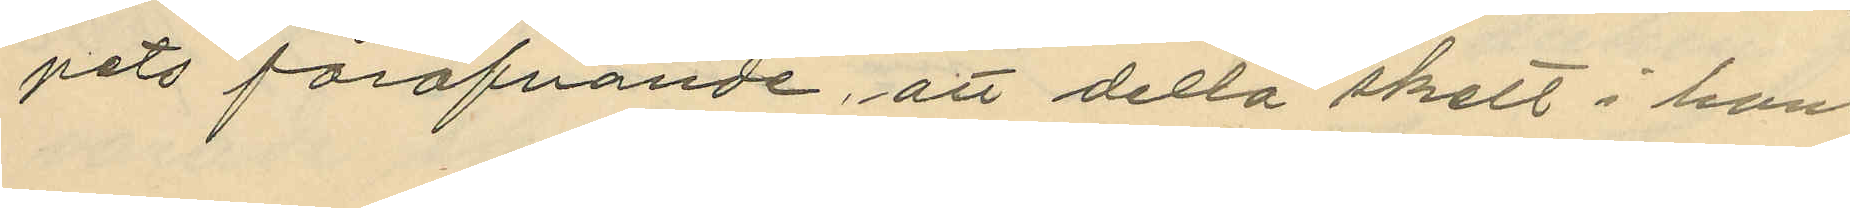pets föröfvande att della skett i hans
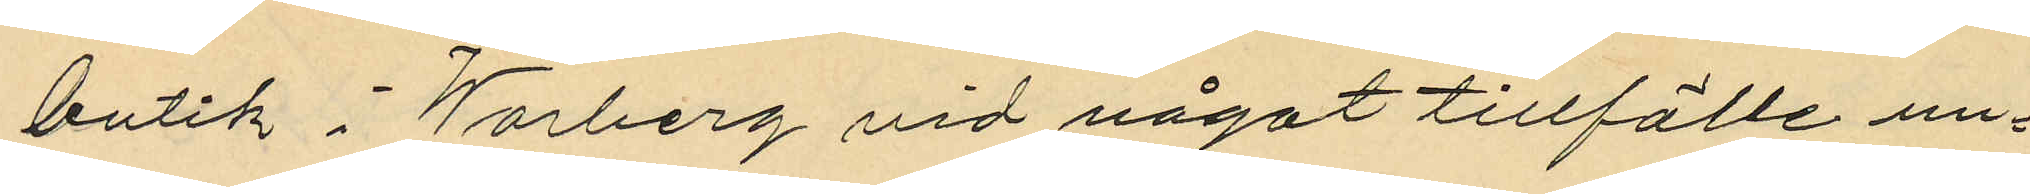butik i Warberg vid något tillfälle un¬
